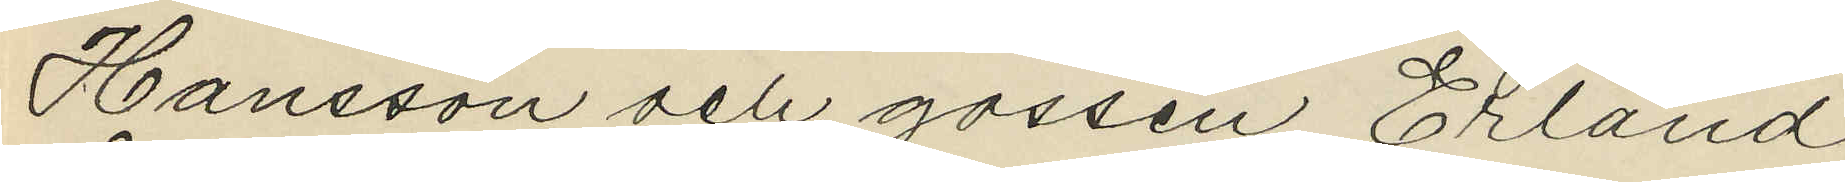Hansson och gossen Erland
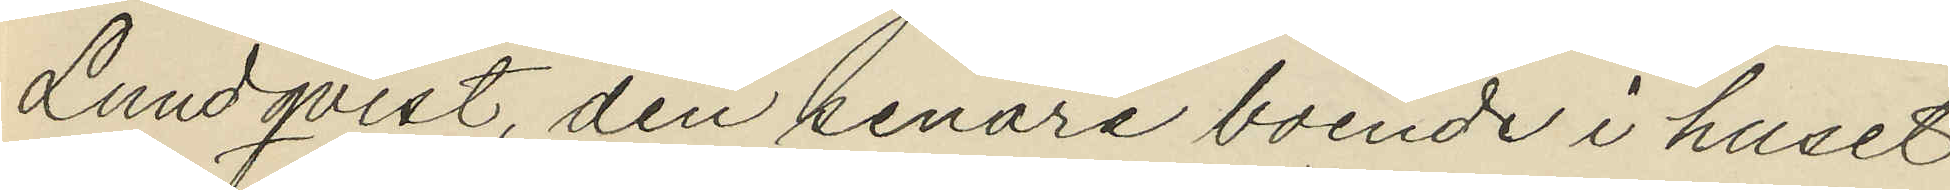Lundqvist, den senare boende i huset
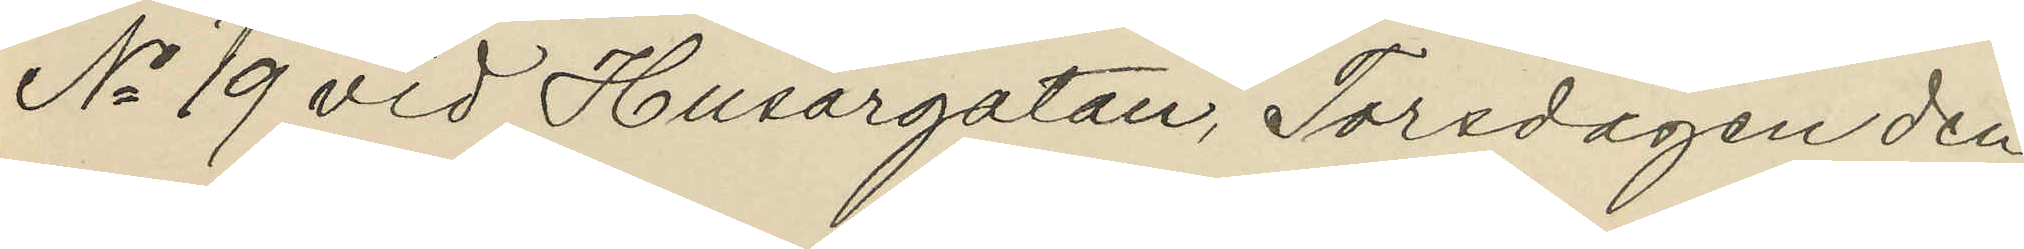No 19 vid Husargatan, Torsdagen den
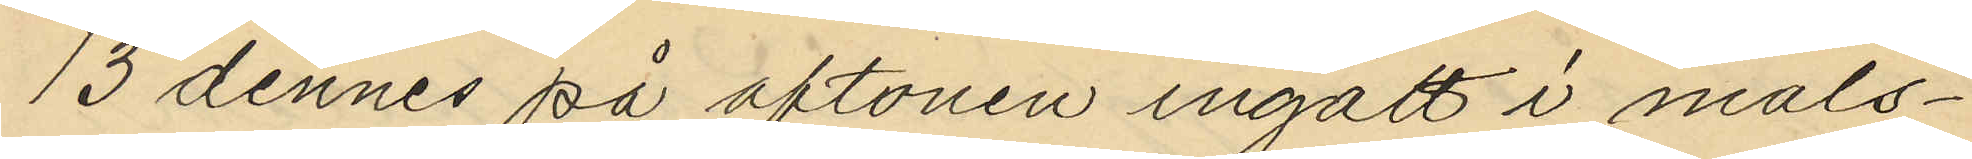13 dennes på aftonen ingått i måls¬
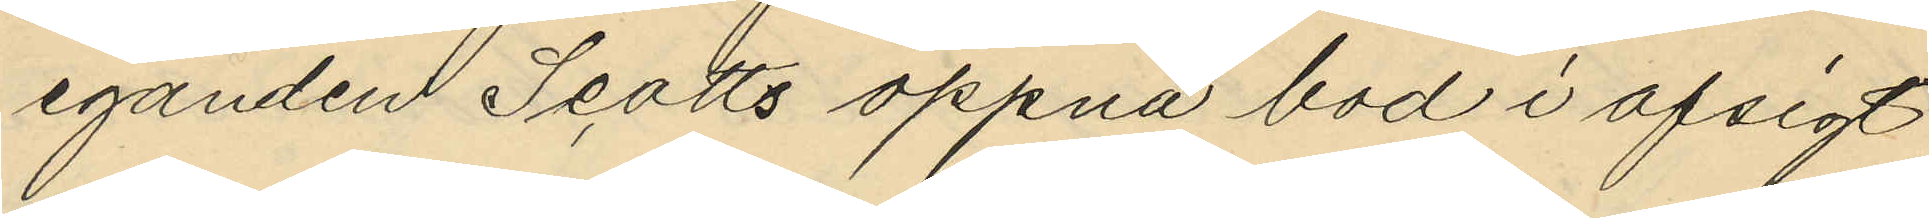eganden Scotts öppna bod i afsigt
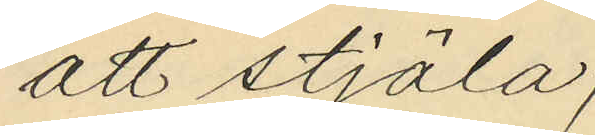att stjäla;
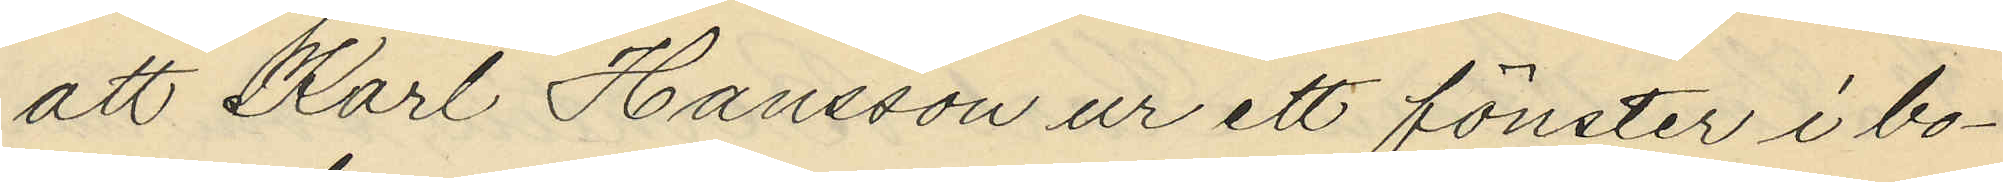att Karl Hansson ur ett fönster i bo¬
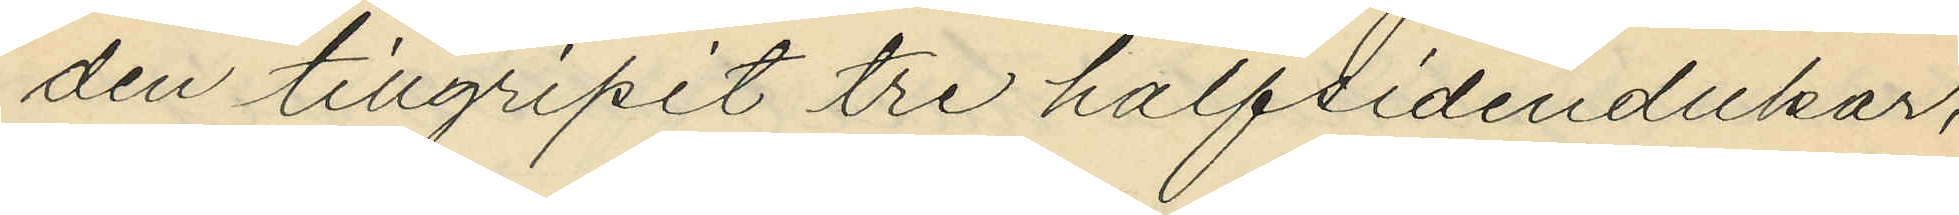den tillgripit tre halfsidendukar,
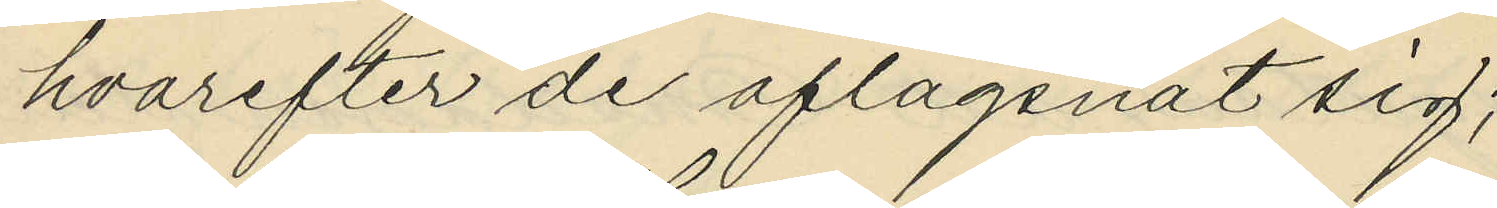hvarefter de aflägsnat sig;
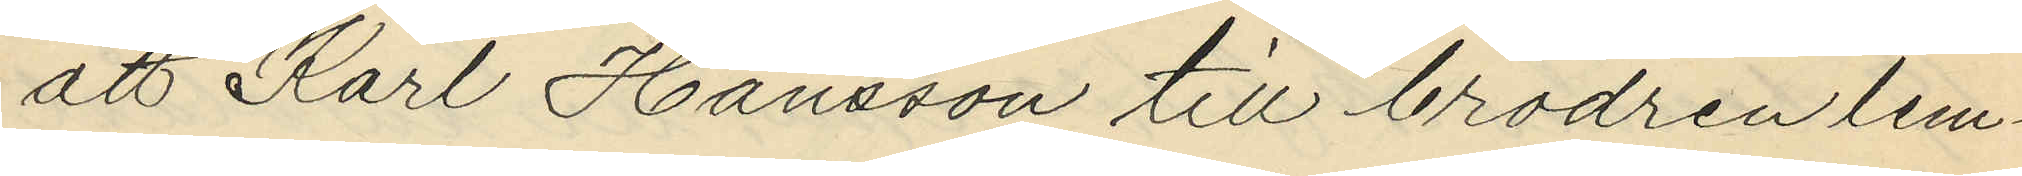att Karl Hansson till brodren lem¬
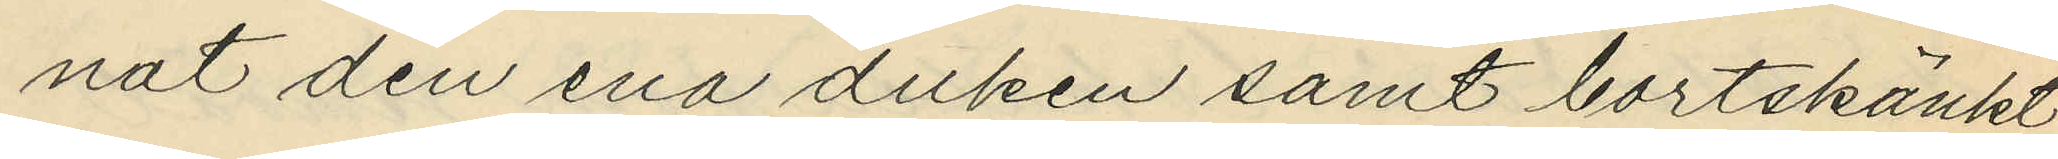nat den ena duken samt bortskänkt
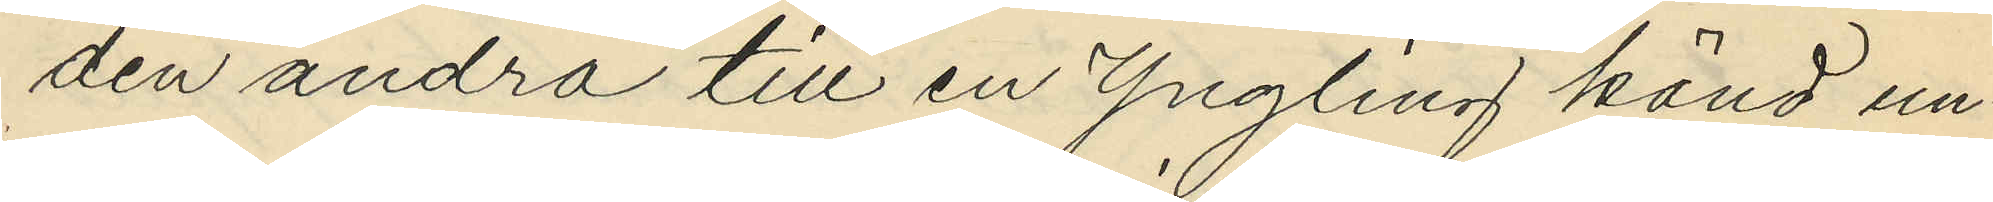den andra till en Yngling känd un¬
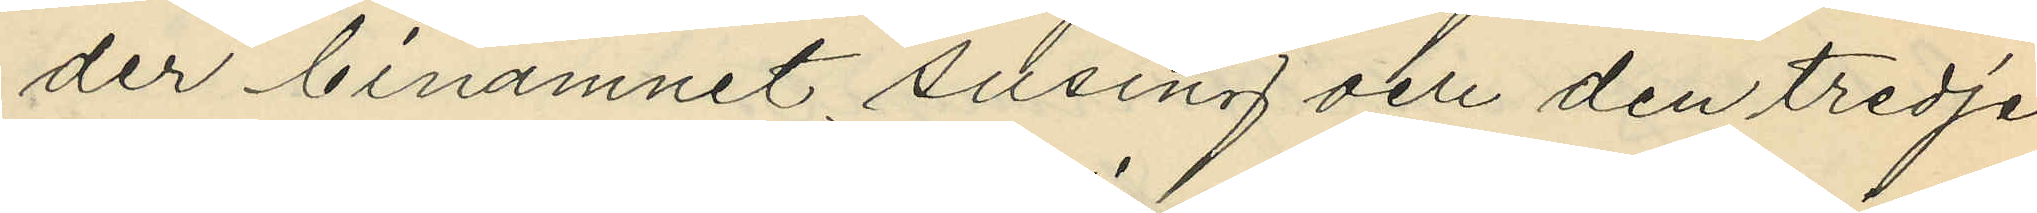der binamnet "susing" och den tredje
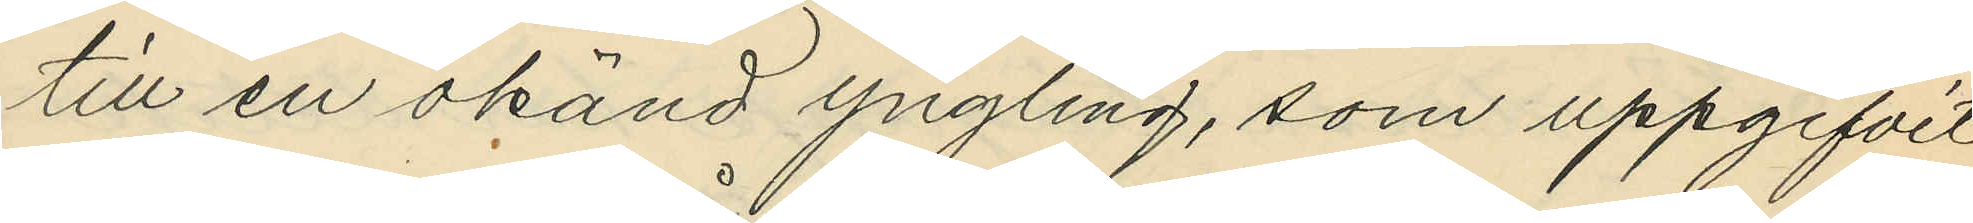till en okänd yngling, som uppgifvit
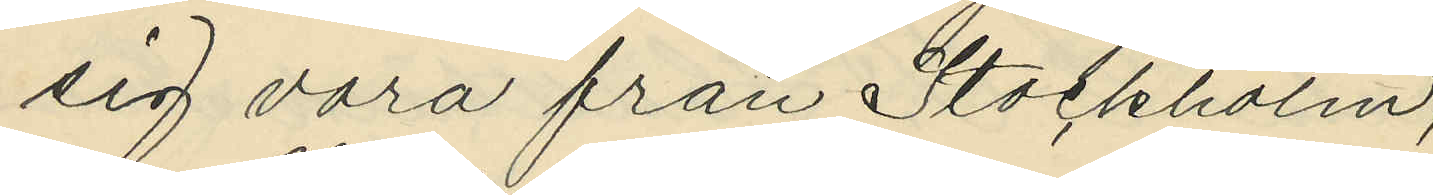sig vara från Stockholm;
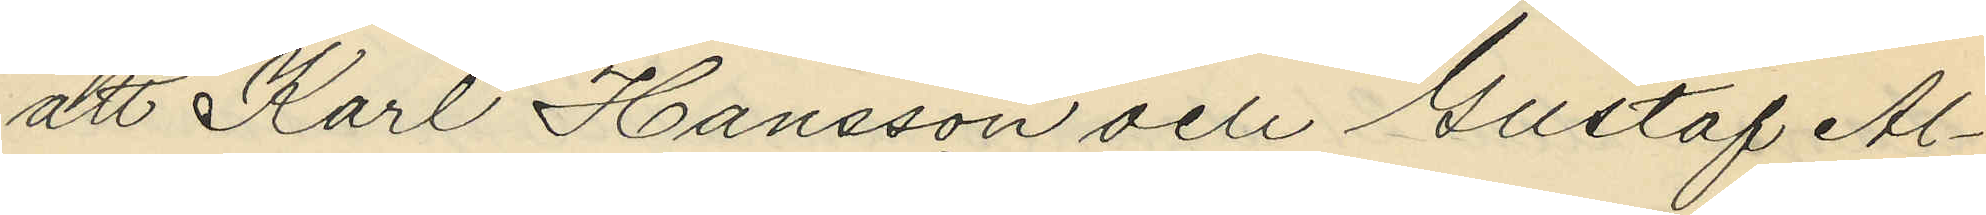att Karl Hansson och Gustaf Al¬
